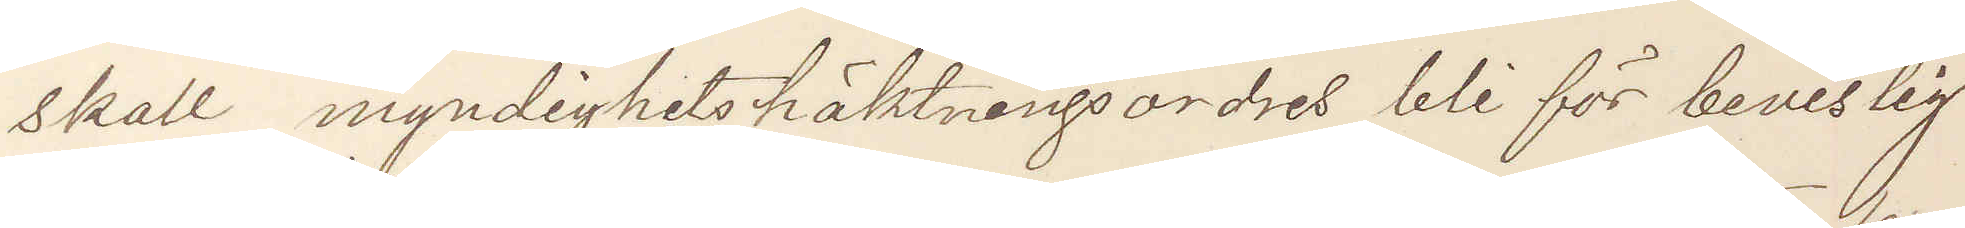skall myndighetshäktningsordres bli för bevislig
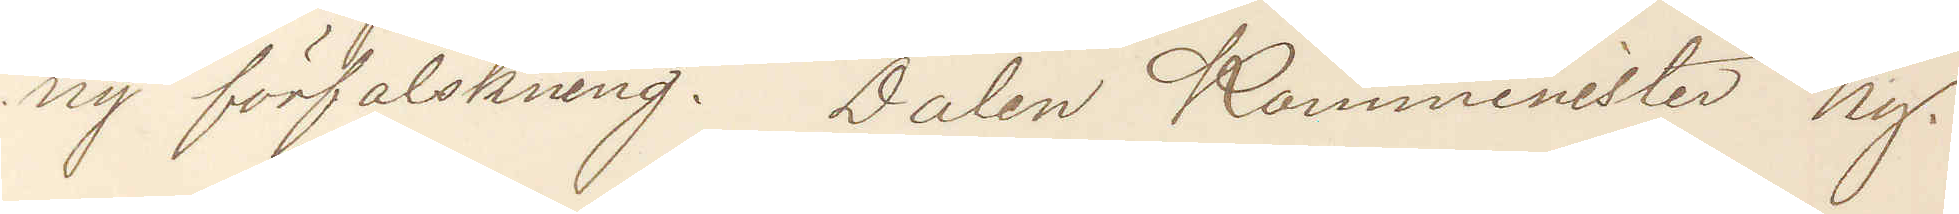ny förfalskning. Dalen Komminister Ny.
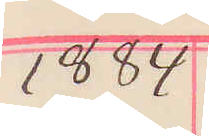1884
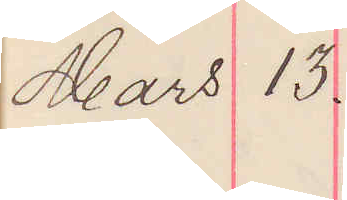Mars 13.
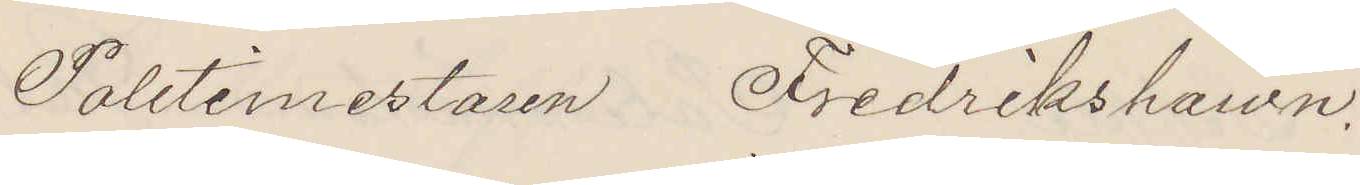Politimestaren Fredrikshawn.
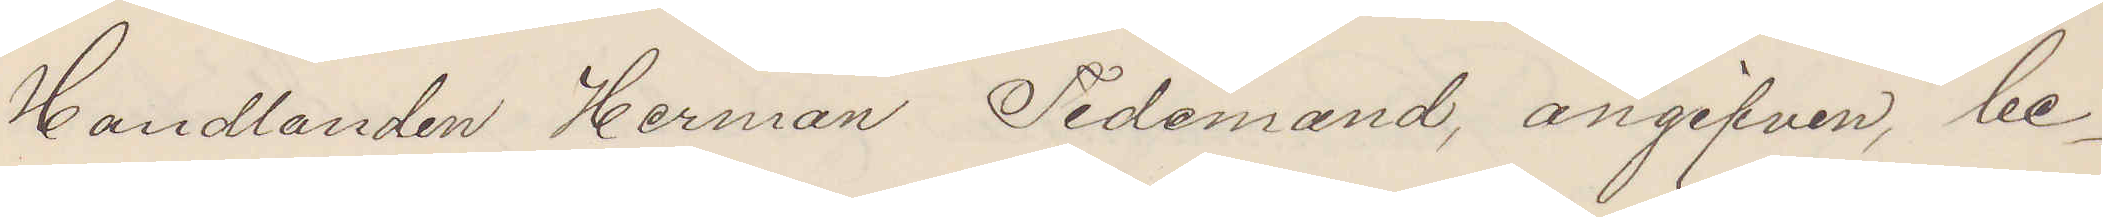Handlanden Herman Tidemand, angifven, be¬
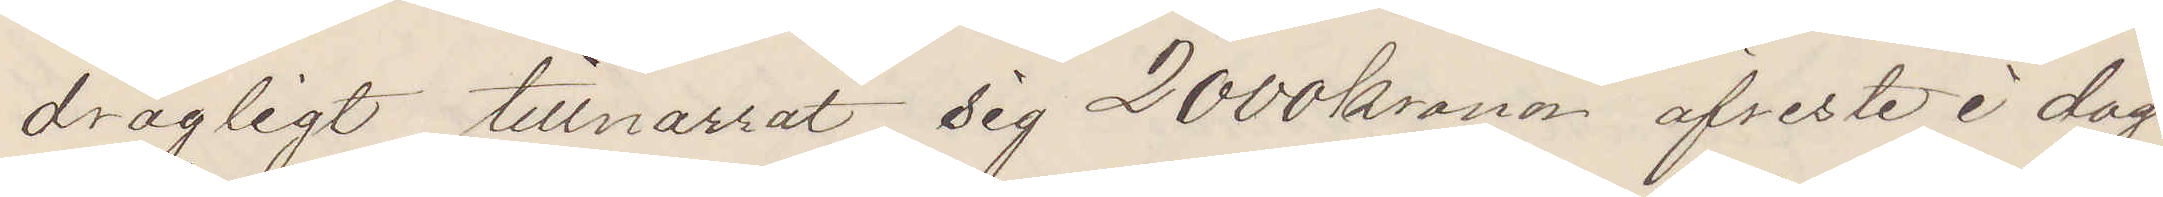drägligt tillnarrat sig 2000 kronor afreste i dag
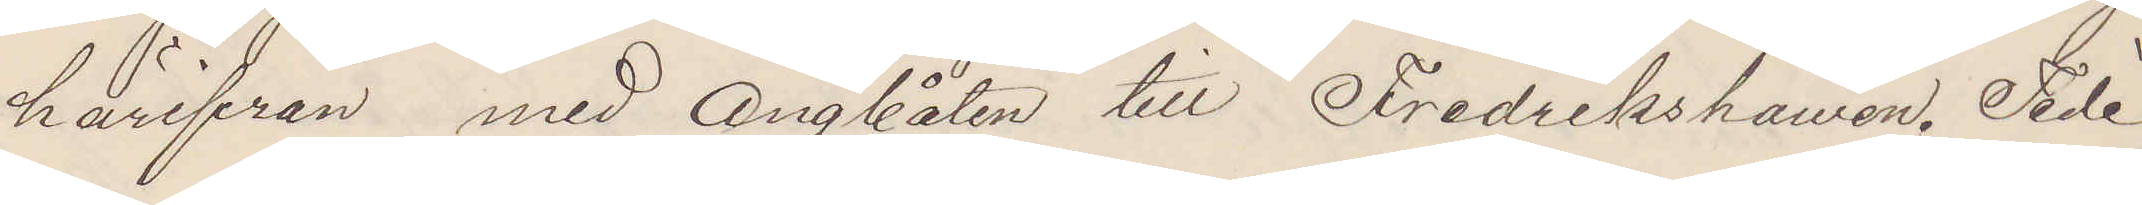härifrån med Ångbåten till Fredrikshawn. Tide¬
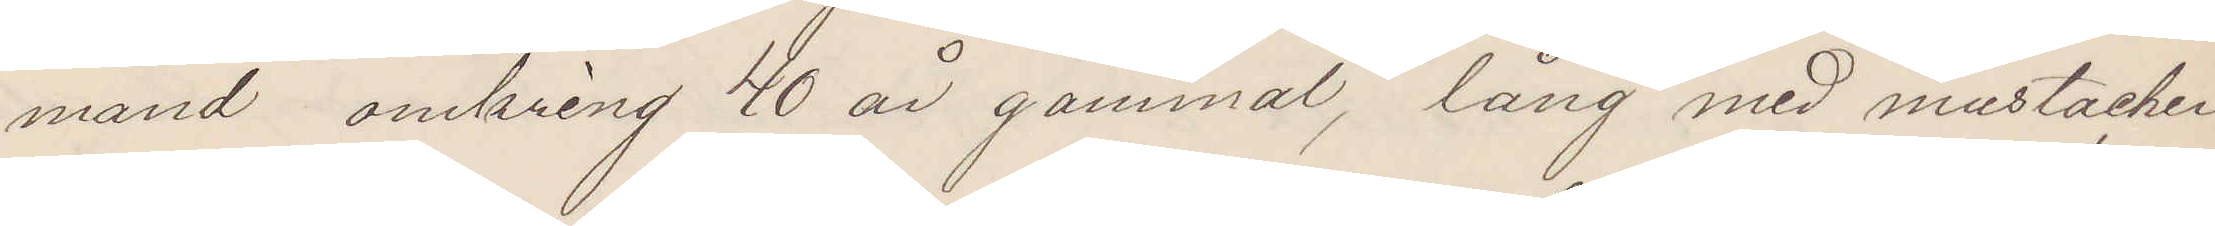mand omkring 40 år gammal, lång med mustacher
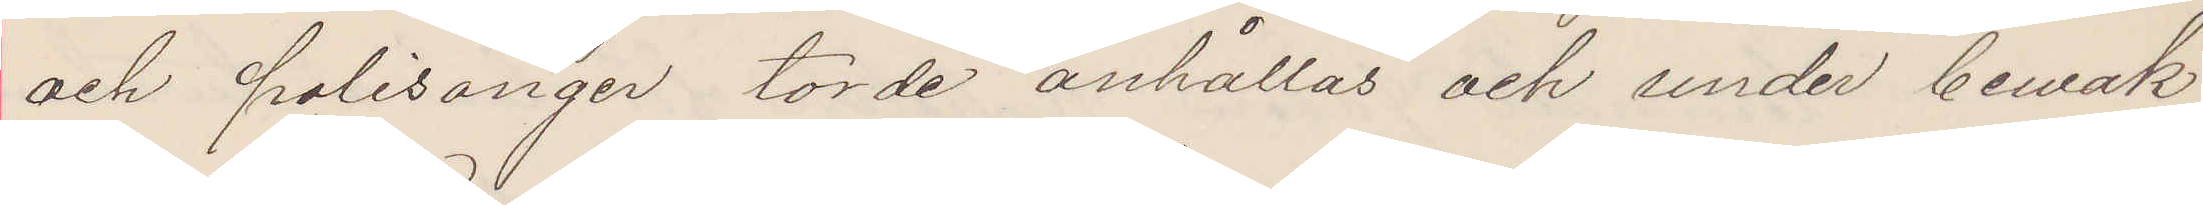och polisonger torde anhållas och under bewak¬
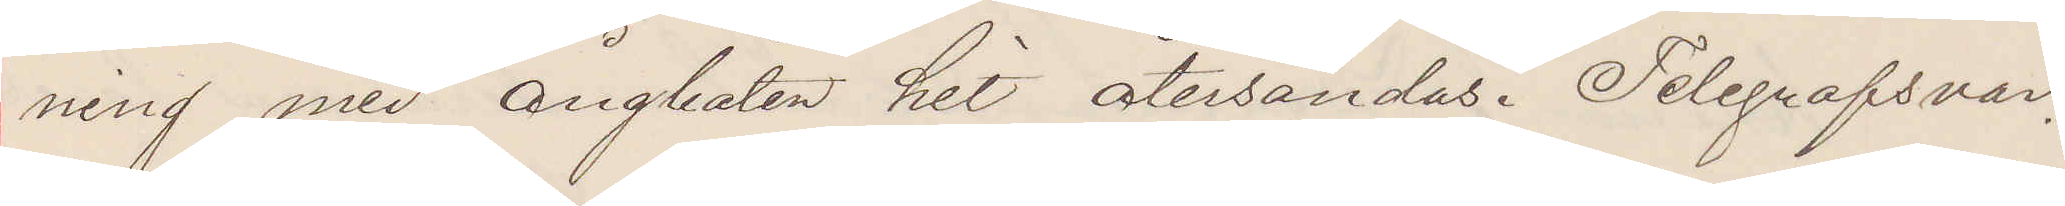ning med ångbåten hit återsändas. Telegrafsvar.
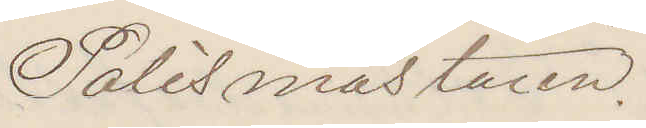Polismästaren.
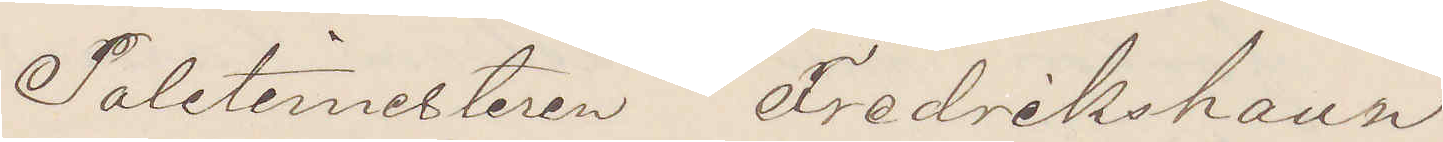Politimesteren Fredrikshaun.
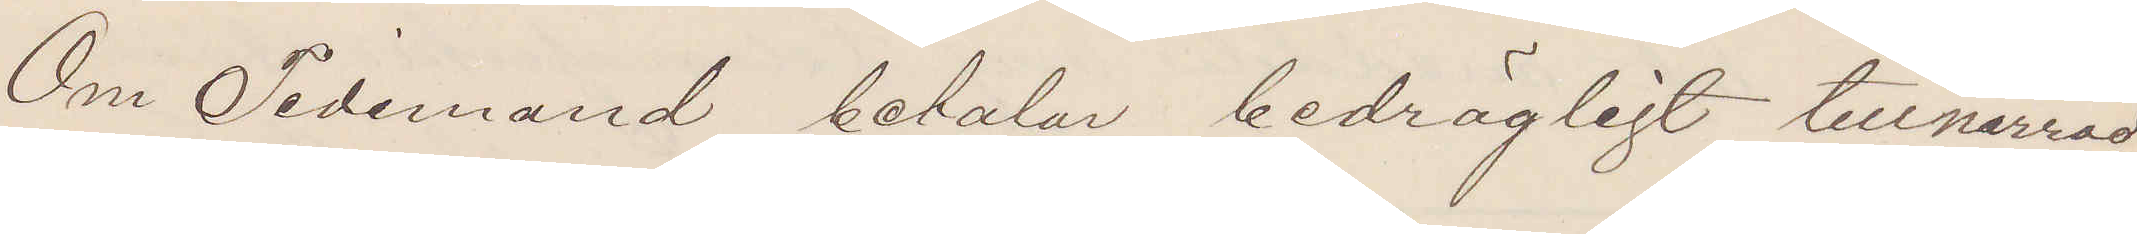Om Tidemand betalar bedrägligt tillnarrade
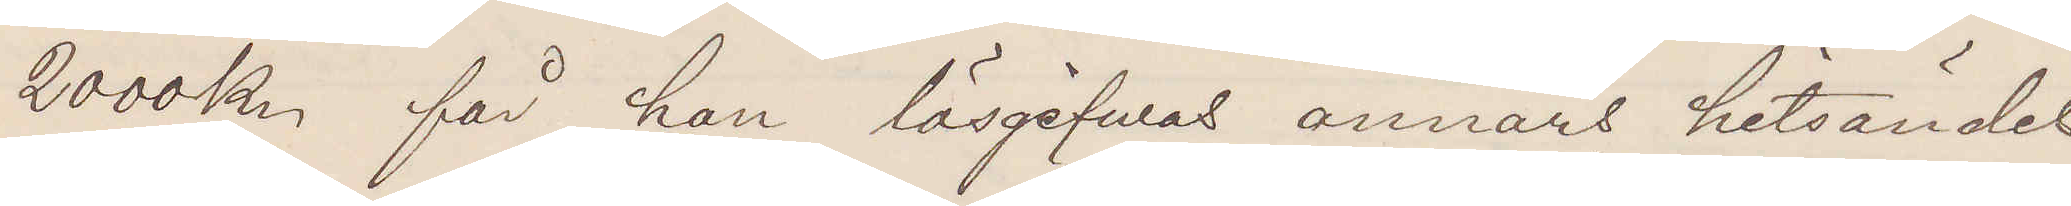2000 Kr får han lösgifvas annars hitsändas
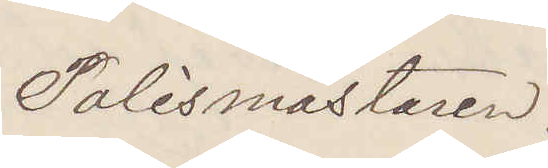Polismästaren.
